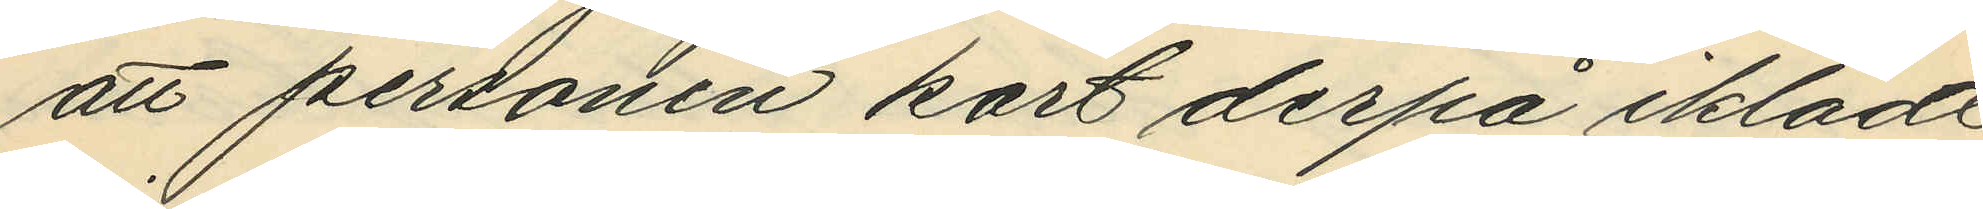att personen kort derpå iklädt
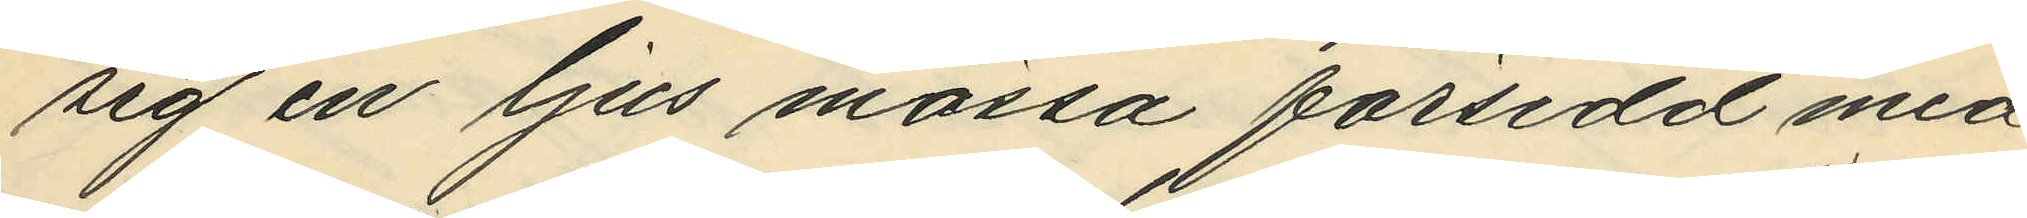sig en ljus mössa försedd med
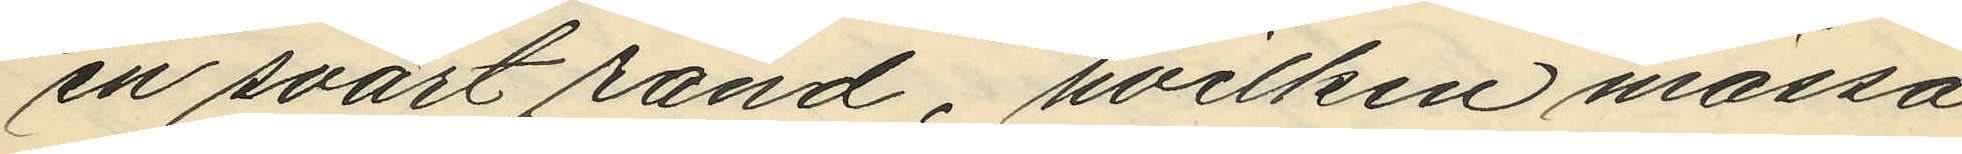en svart rand, hvilken mössa
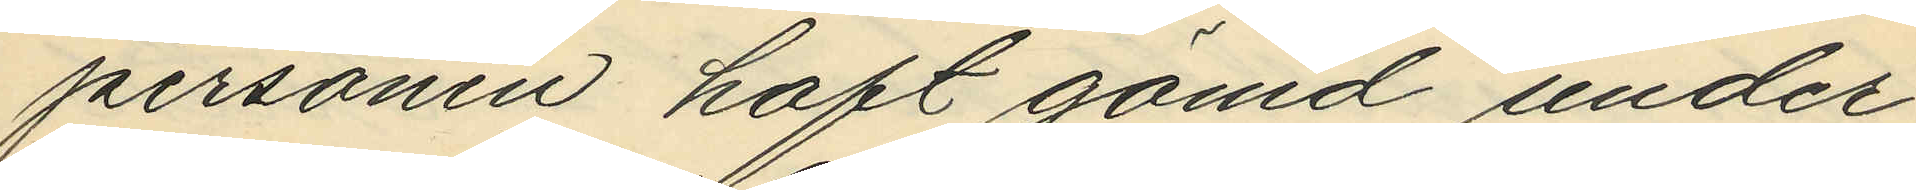personen haft gömd under
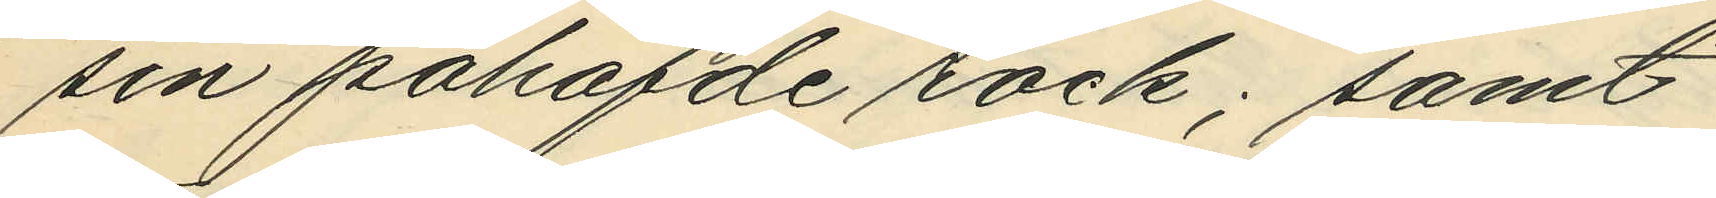sin påhafde rock; samt
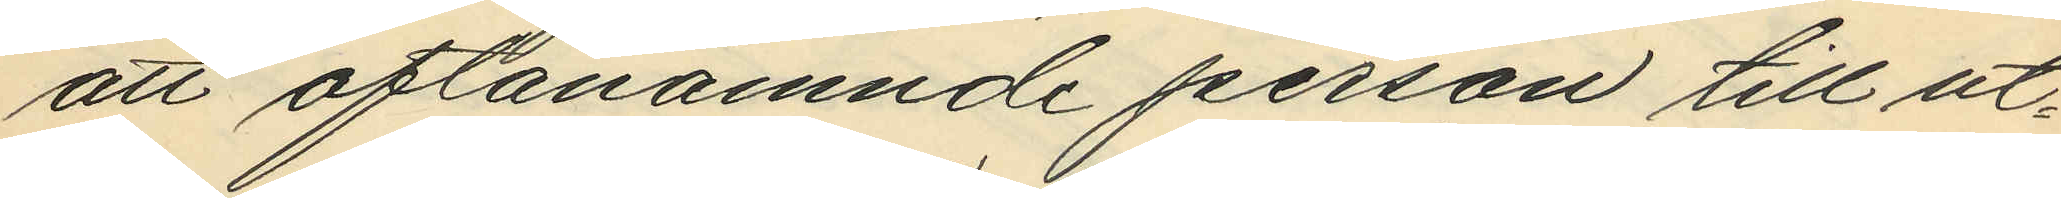att oftanämnde person till ut¬
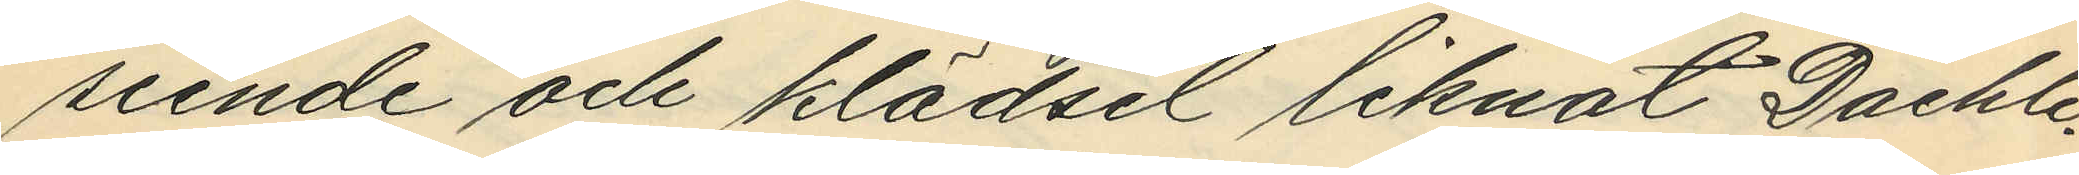seende och klädsel liknat Daehli.
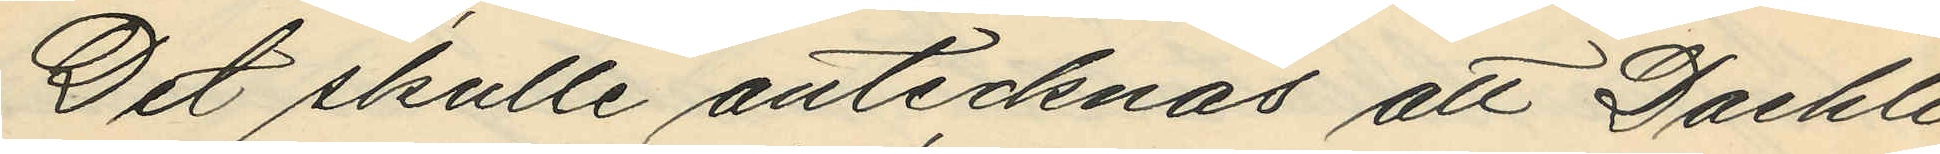Det skulle antecknas att Daehli
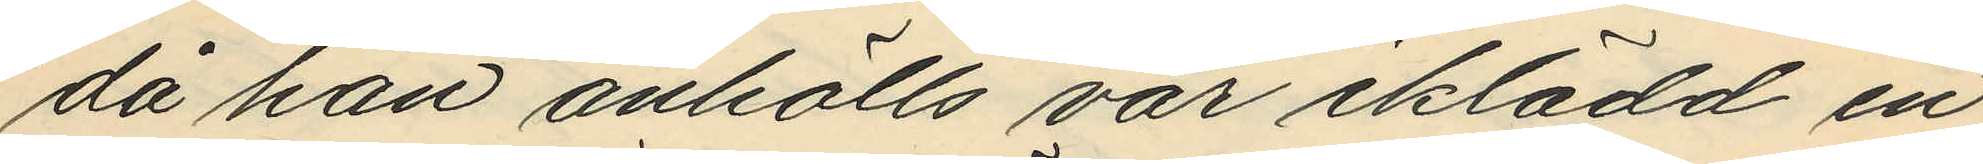då han anhölls var iklädd en
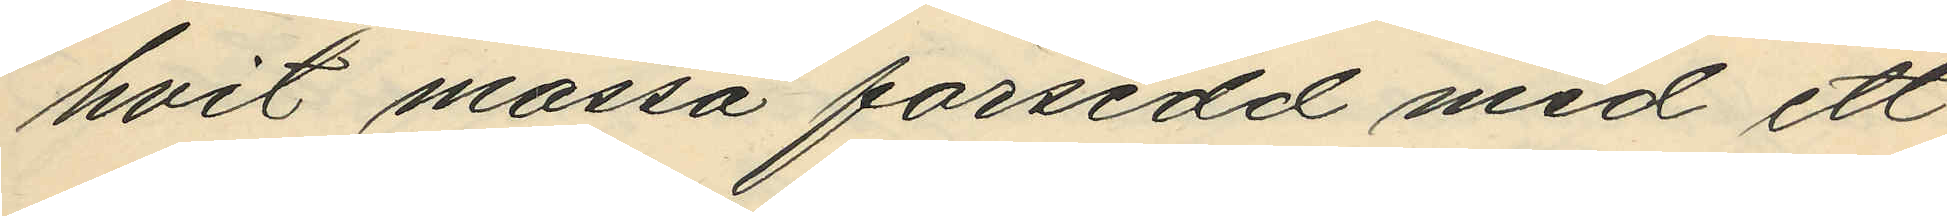hvit mössa försedd med ett
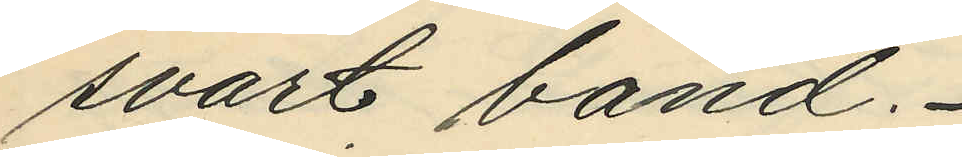svart band.
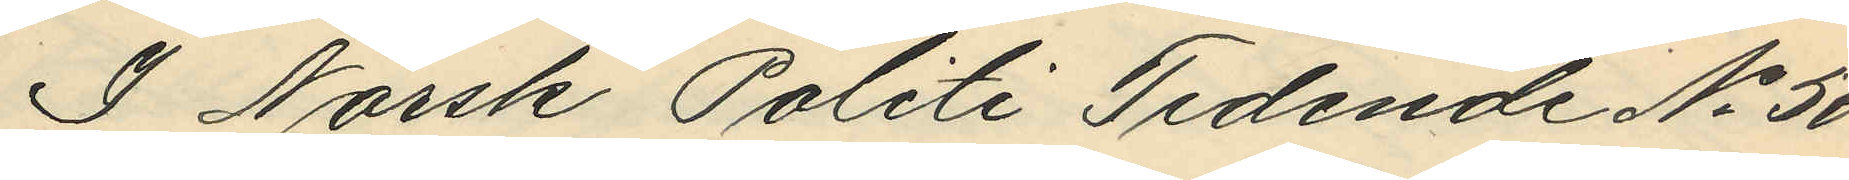I Norsk Politi Tidende No 50
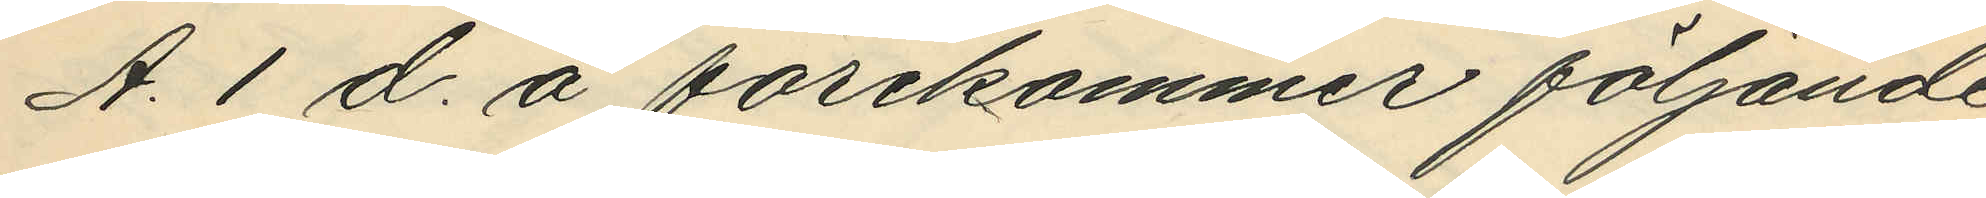A. 1 d. å förekommer följande
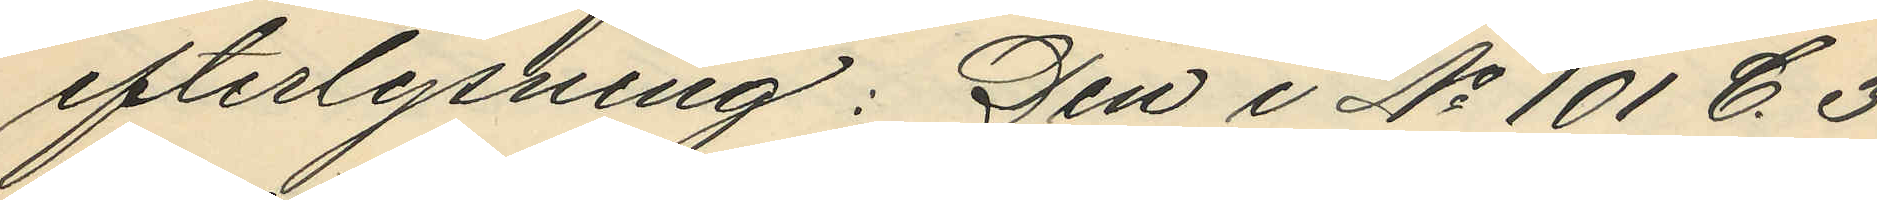efterlysning: Den i No 101 C. 3.
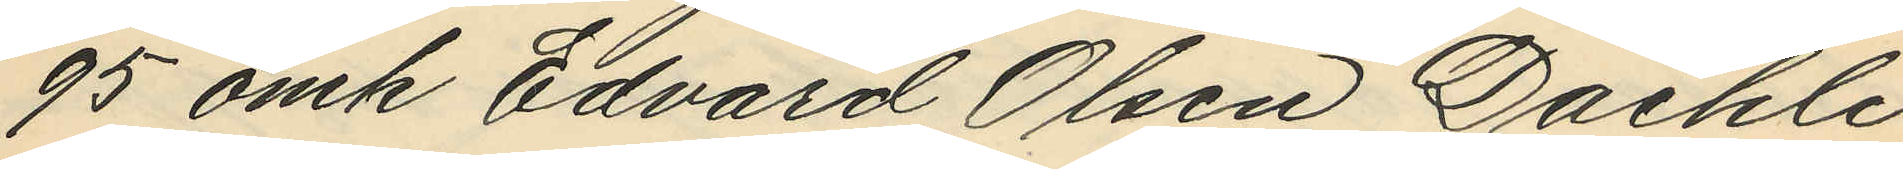95 omk Edvard Olsen Daehli
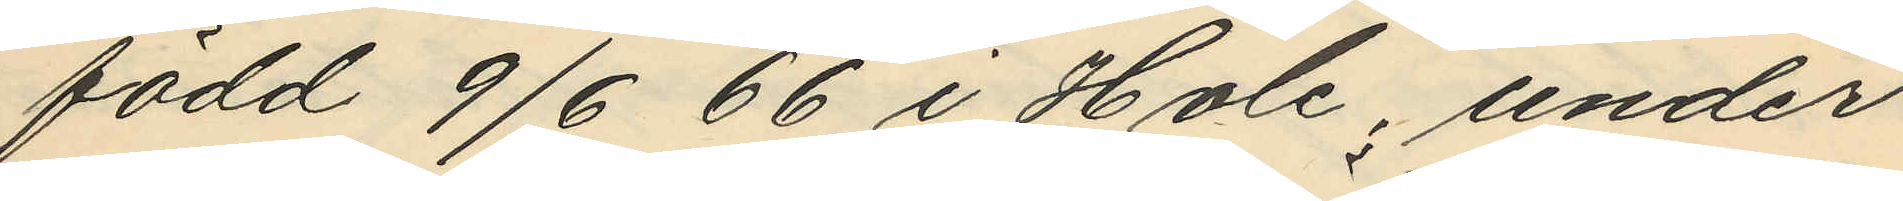född 9/6 66 i Hole, under
